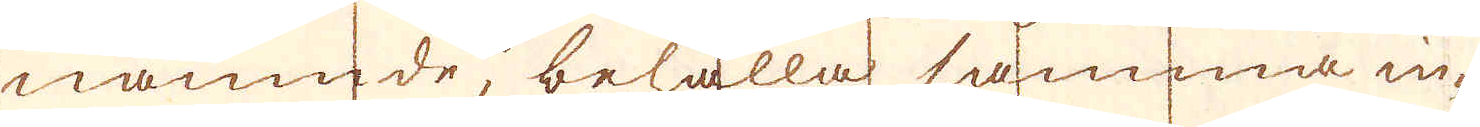nämnde, behålla samma in-
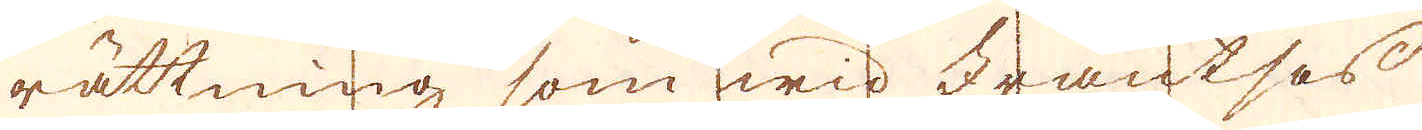rättning som wid Frantsos
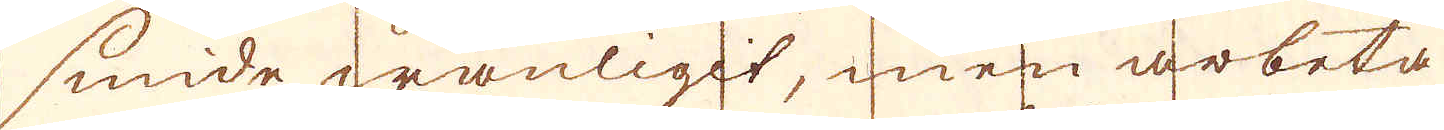smide wanligit, men arbeta
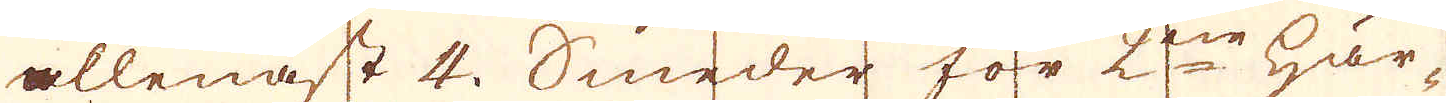allenast 4. Smeder för 2ne här-
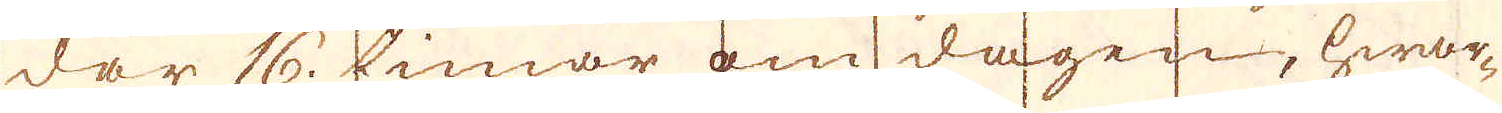dar 16. timar om dagen, hwar-
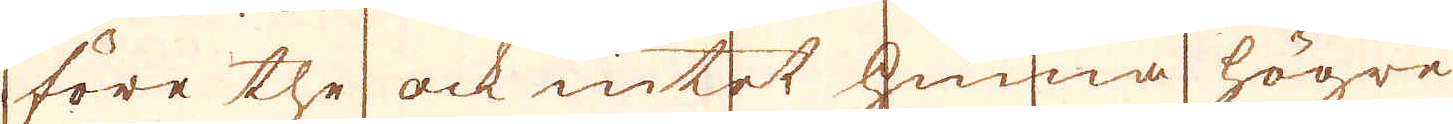före the ock intet hinna högre
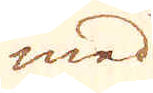med
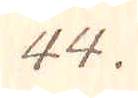44.
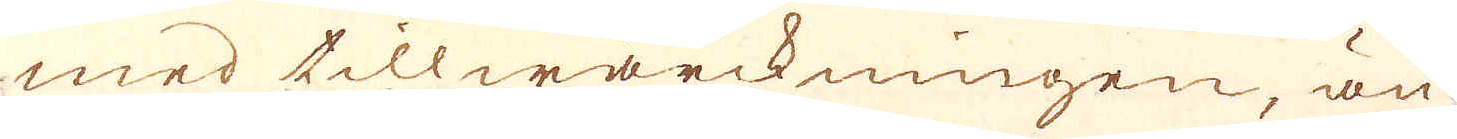med tillwärckningen, än
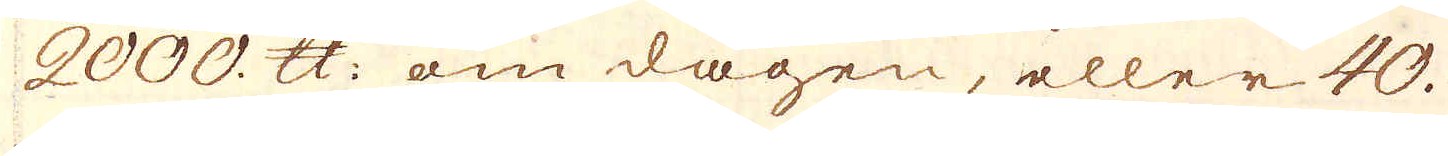2000. skålpund om dagen, eller 40.
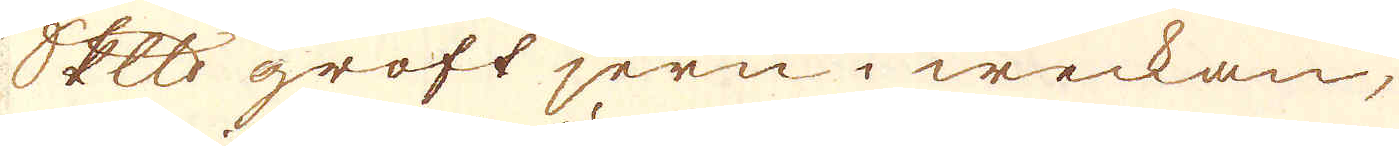Skeppund groft jern i weckan,
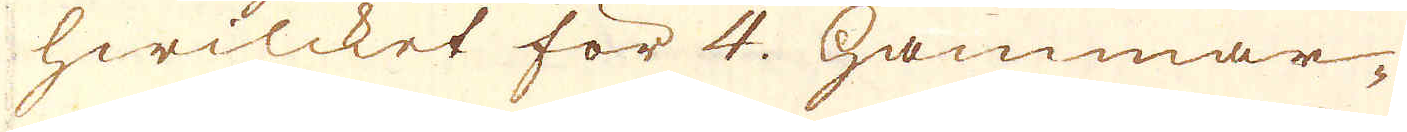hwilcket för 4. hammar-
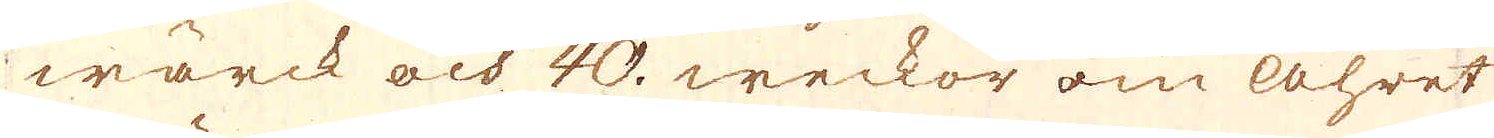wärck och 40. weckor om åhret
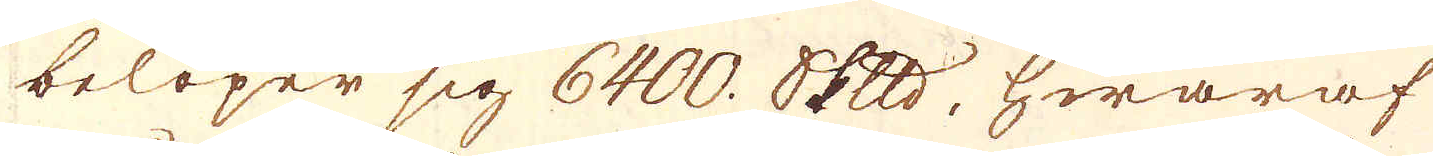belöper sig 6400. skeppund, hwaraf
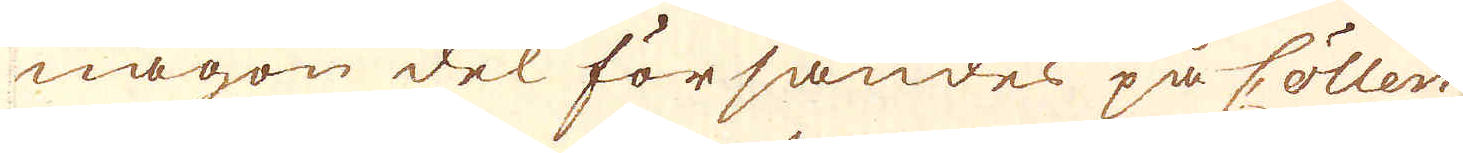någon del försändes på Cöllen
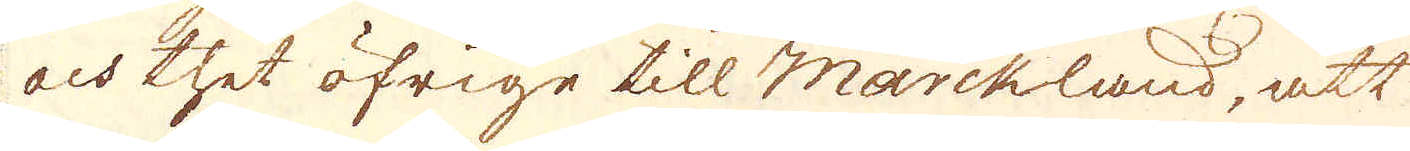och thet öfrige till Marckland, att
